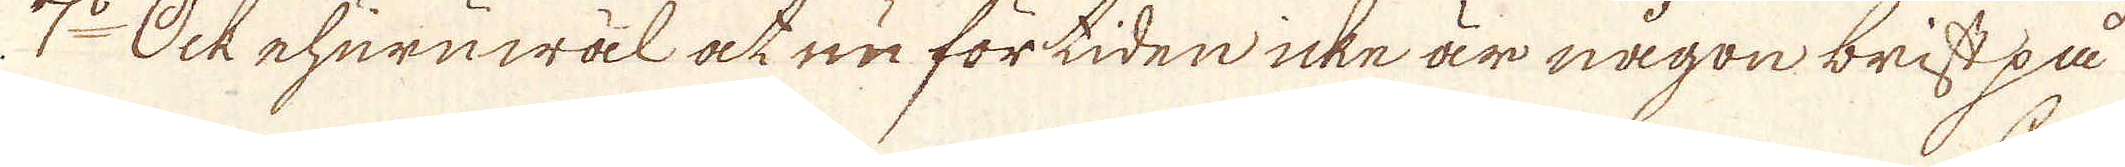7:o Ock ehuruwäl at nu förtiden icke är någon brist på
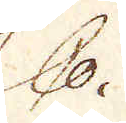Co.
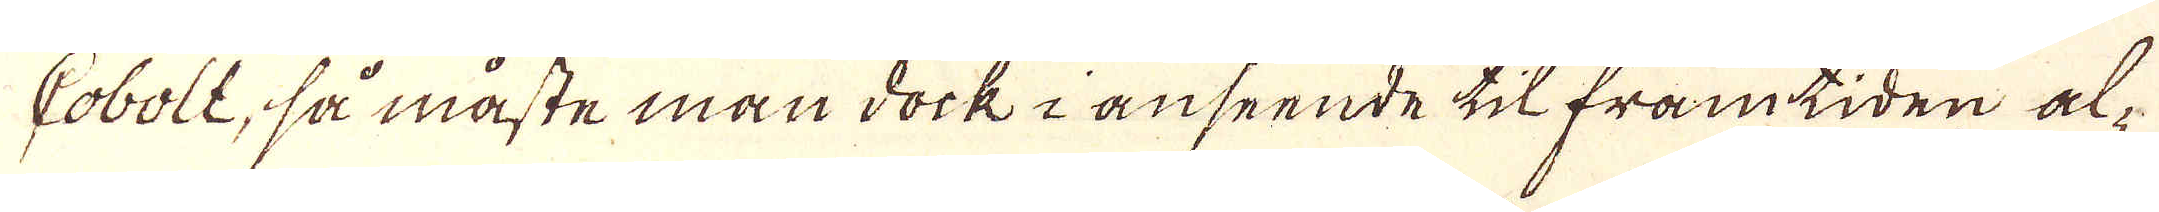Cobolt, så måste man dock i anseende til framtiden al-
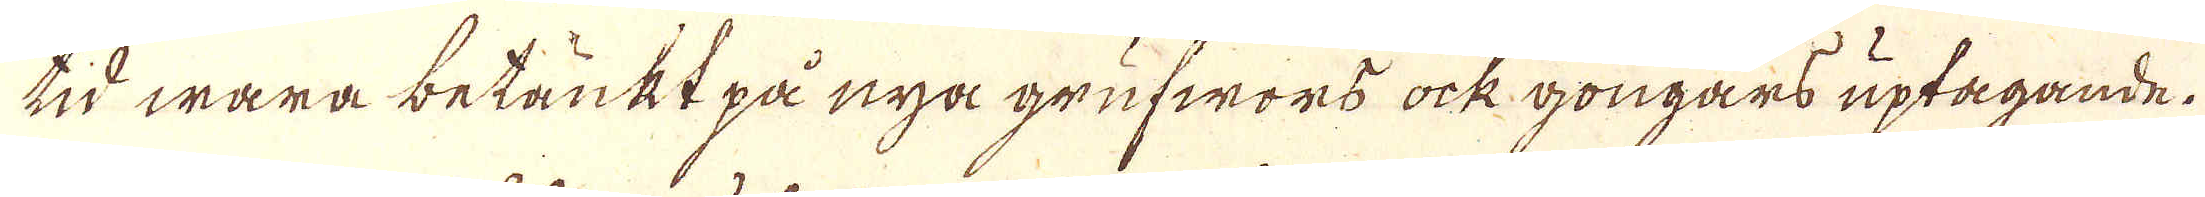tid wara betänkt på nya grufwors ock gongars uptagande.
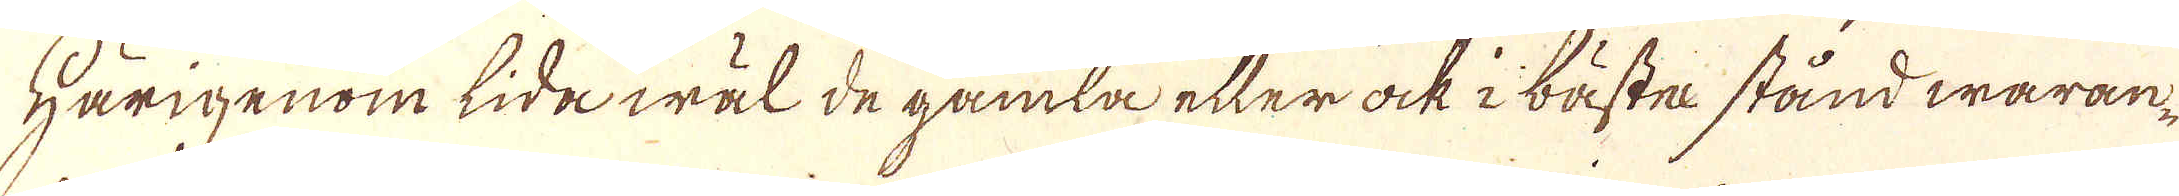Härigenom lida wäl de gamla eller ock i bäste stånd waran-
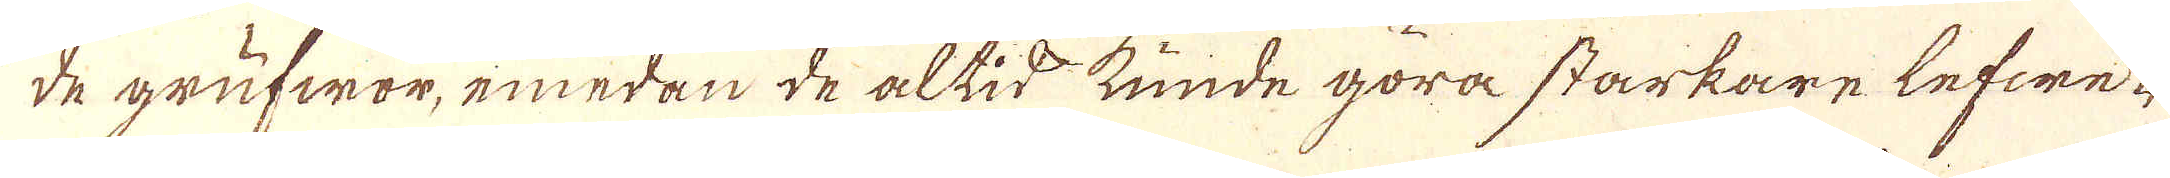de grufwor, emedan de altid kunde göra starkare lefwe-
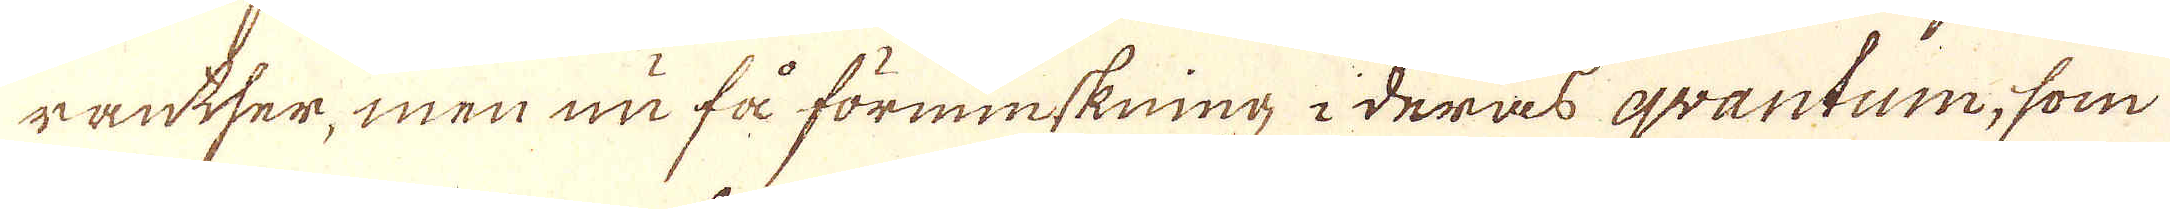räntser, men nu få förminskning i deras qvantum, som
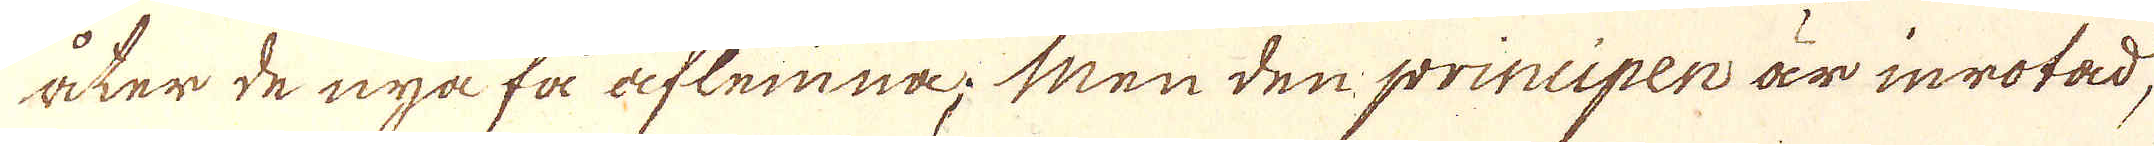åter de nya få aflemna; Men den principen är inrotad,
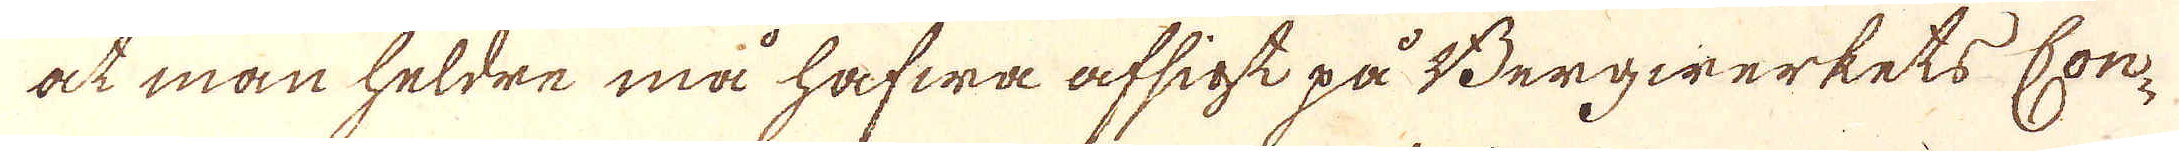at man heldre må hafwa afsigt på Bergwärkets Con-
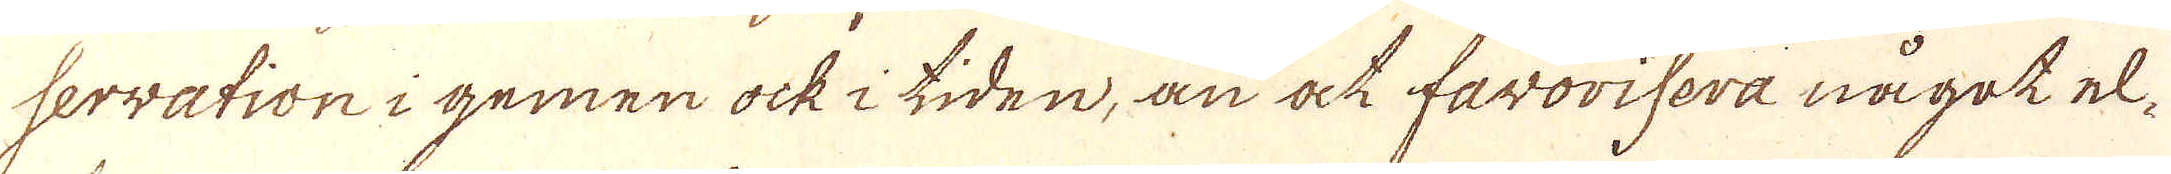servation i gemen ock i tiden, än at favorisera något el-
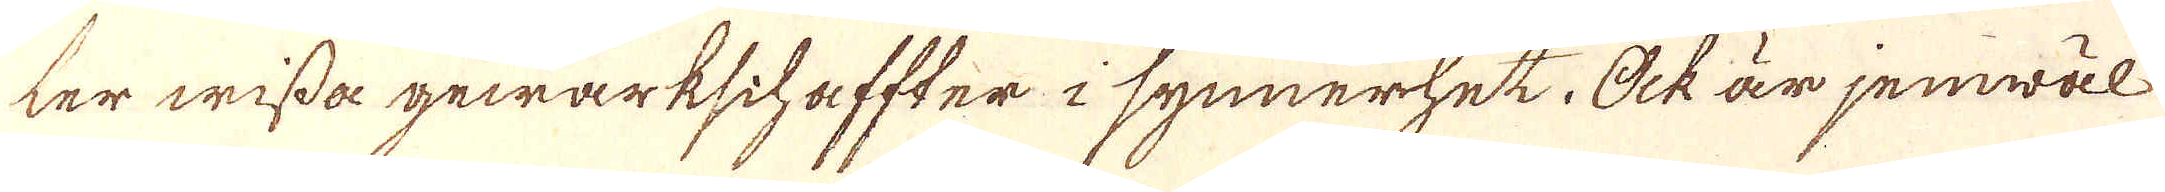ter wissa gewärkschaffter i synnerhet. Ock är jemwäl
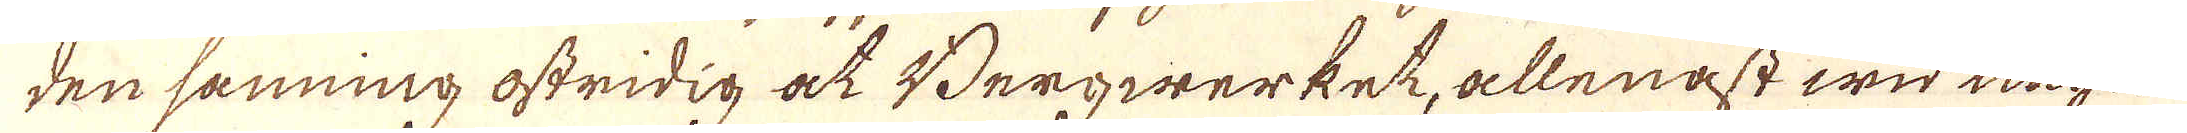den sanning ostridig at Bergwarket, allenast wid några
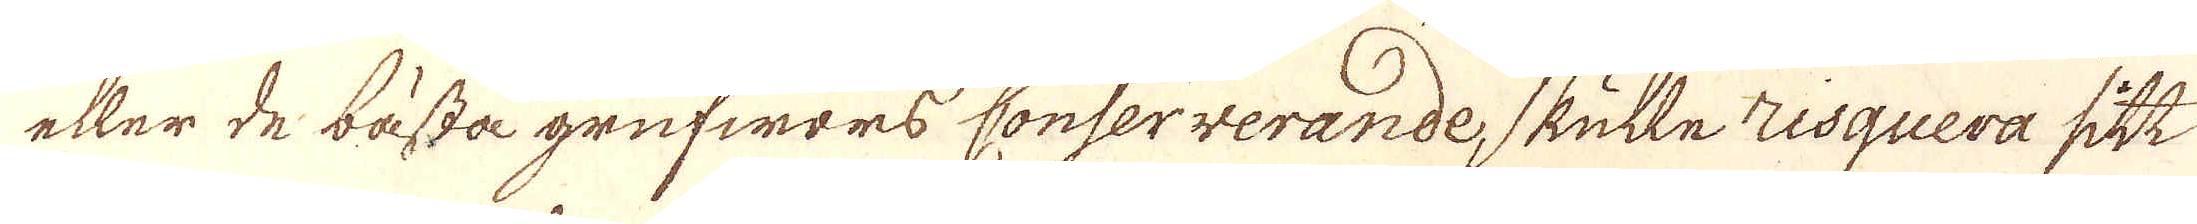eller de bästa grufwors conserverande, skulle risquera sitt
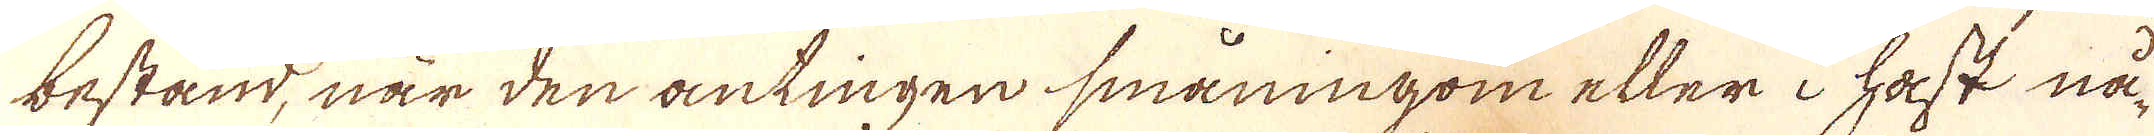bestånd, när den antingen småningom eller i hast nå-
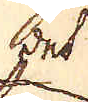het
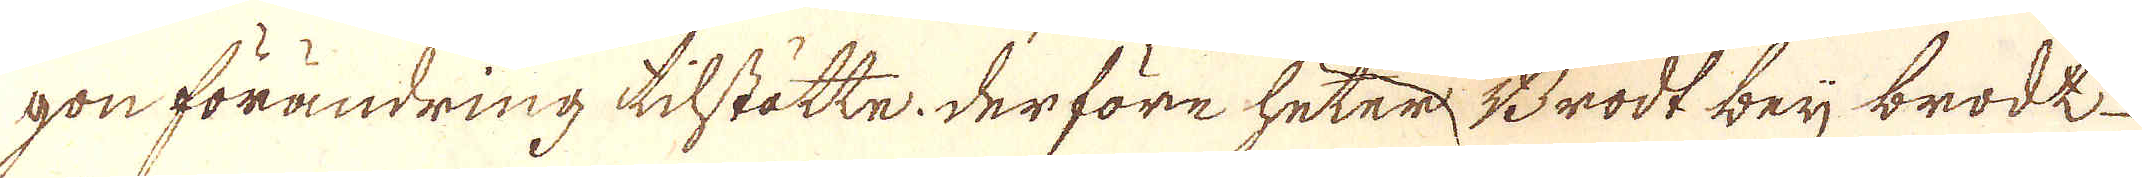gon förändring tillstötte. Der före heter, Brodt beij brodk
